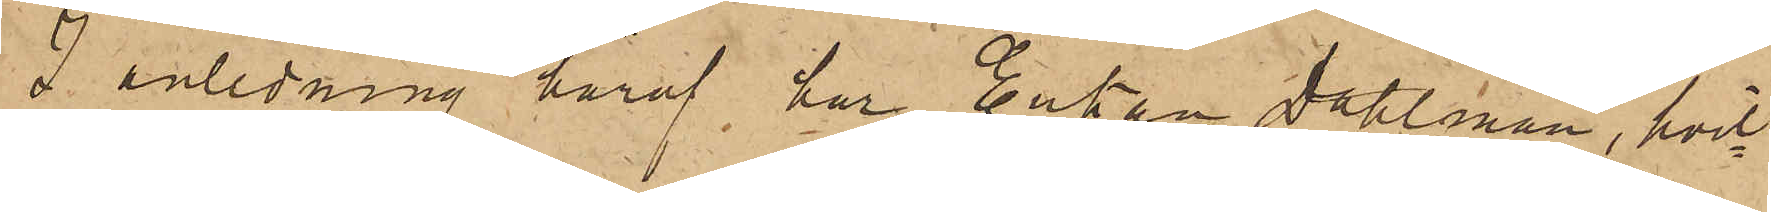I anledning häraf har Enkan Dahlman, hvil¬
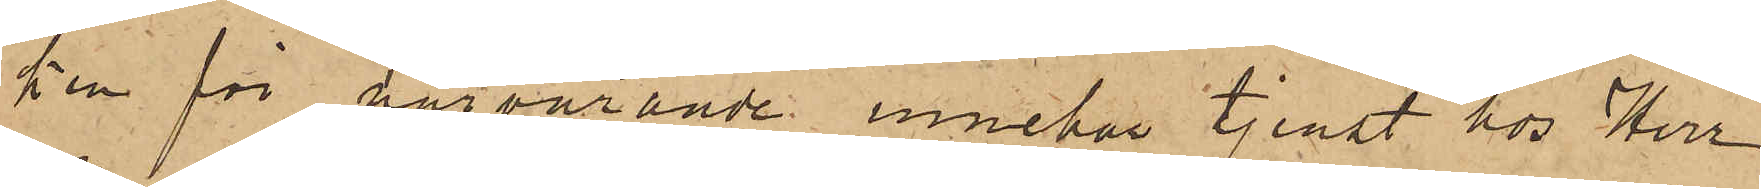ken för närvarande innehar tjenst hos Herr
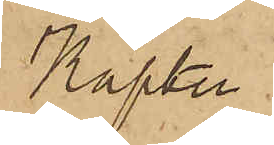Kapten
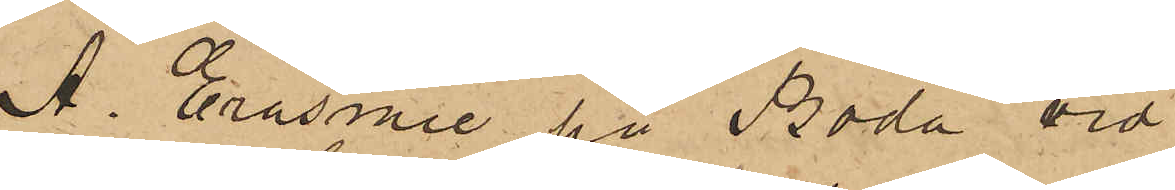A. Erasmie på Boda vid
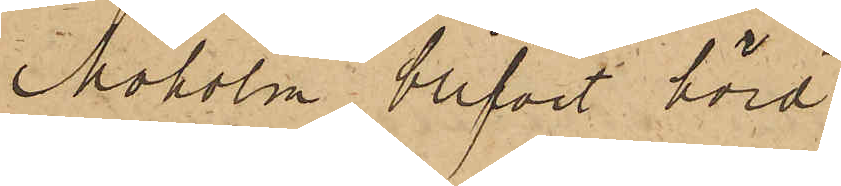Moholm, blifvit hörd,
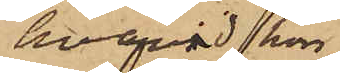hvarvid hon
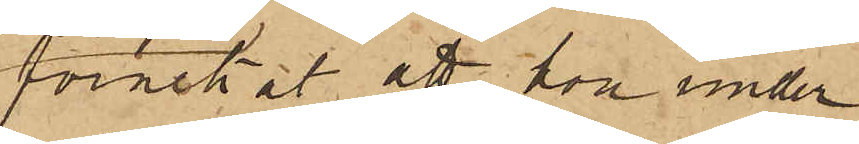förnekat att hon under
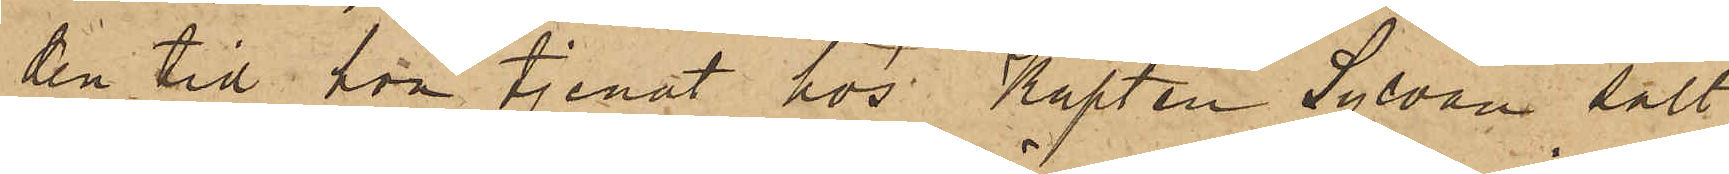den tid hon tjenat hos Kapten Sylvan sålt
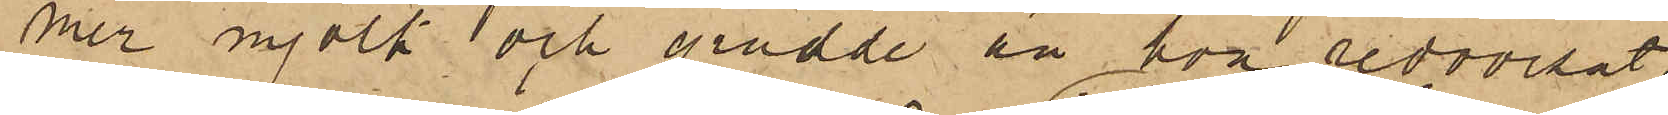mer mjölk och grädde än hon redovisat,
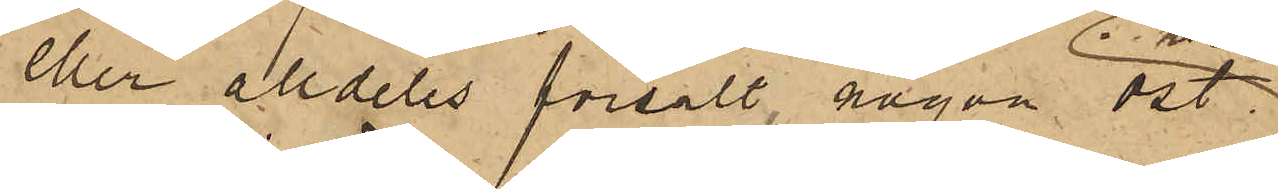eller alldeles försålt någon ost.
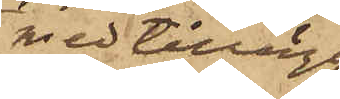med tillägg
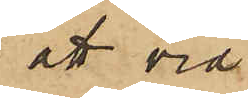att vid
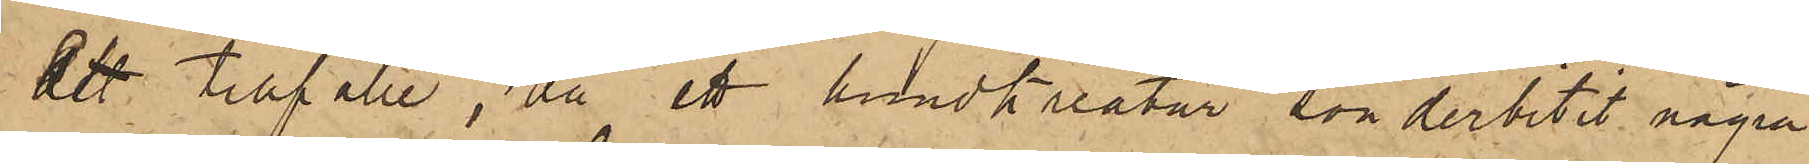ett tillfälle, då ett hundkreatur, sönderbitit några
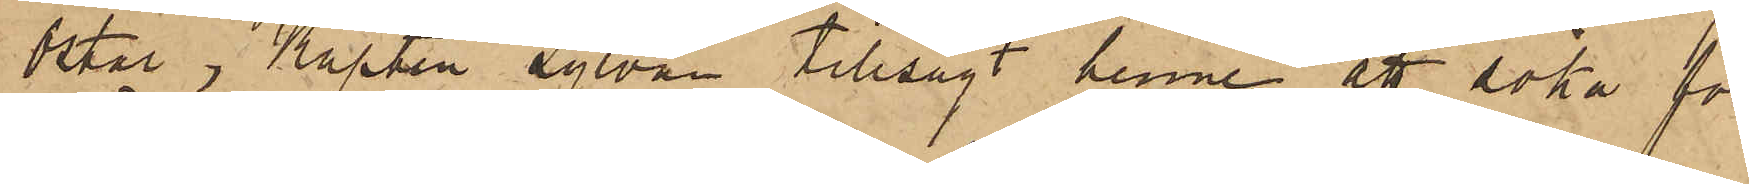Ostar, Kapten Sylvan tillsagt henne att söka för¬
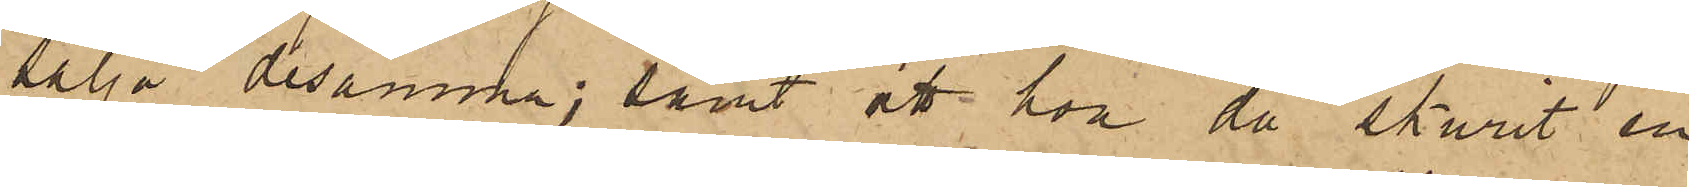sälja desamma; samt att hon då skurit en
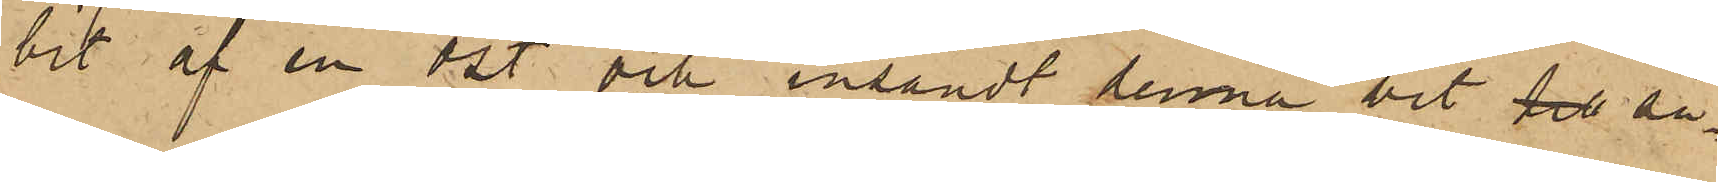bit af en ost och insändt denna bit till så¬
